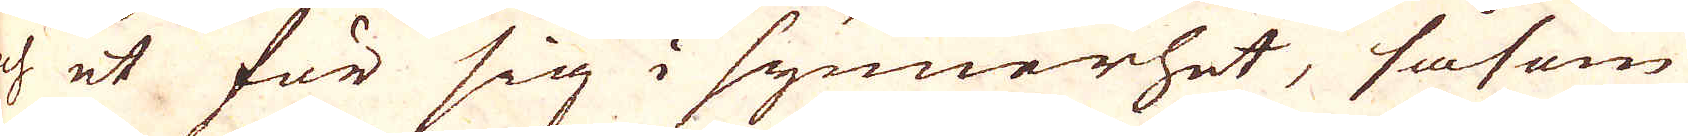och et för sig i synnerhet, såsom
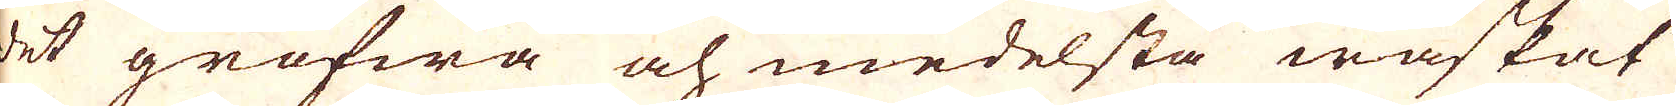det grofwa och medelsta waskat
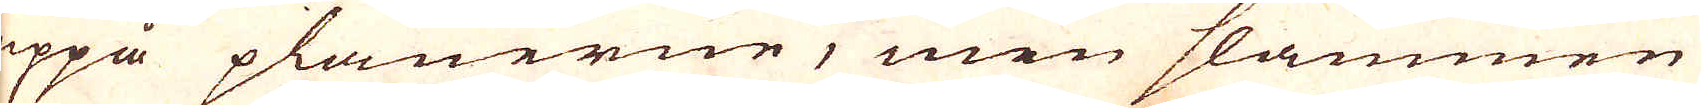uppå planerne, men slammen
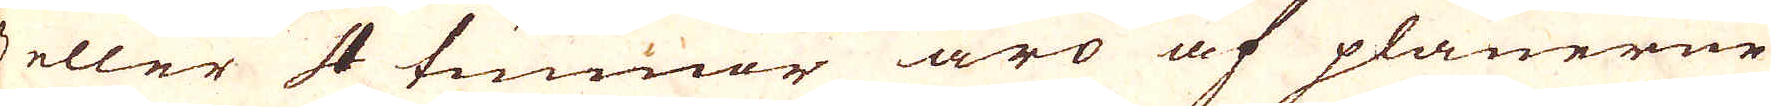3 eller 4 tunnor äro af planerne
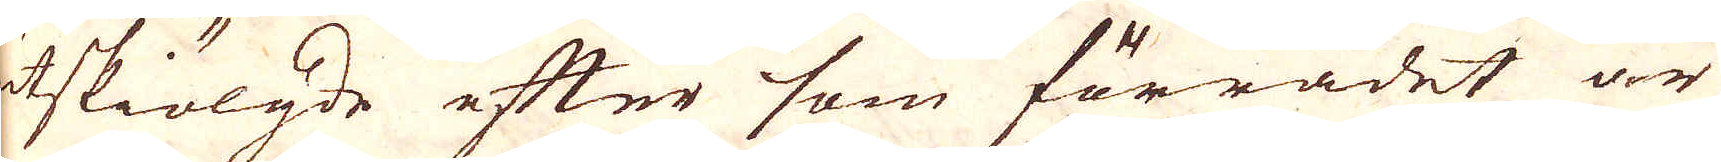utskiölgde efter som förrådet är
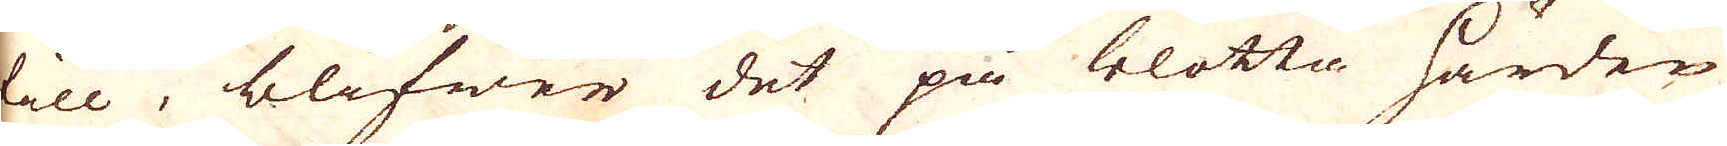till, blifwer det på blotta härden
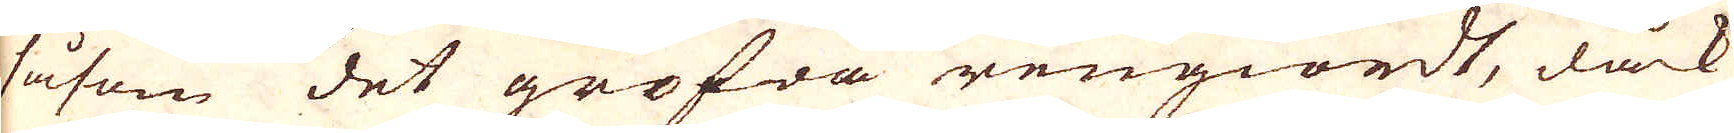såsom det grofwa rengiordt, dåck
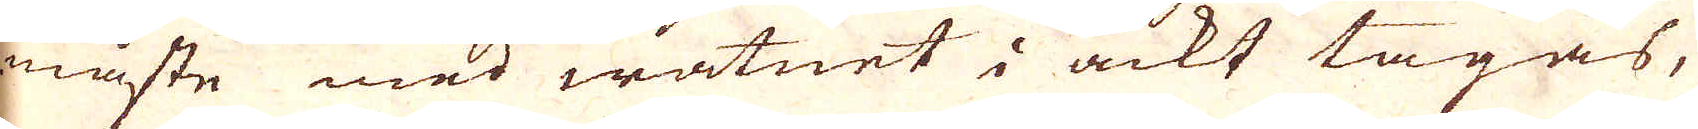måste med watnet i ackt tagas,
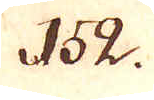152.
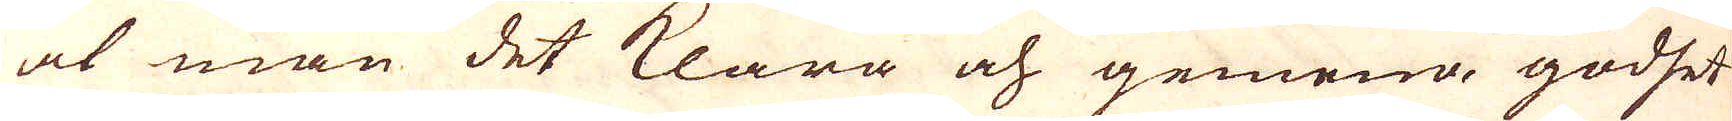at man det klara och gemena godshet
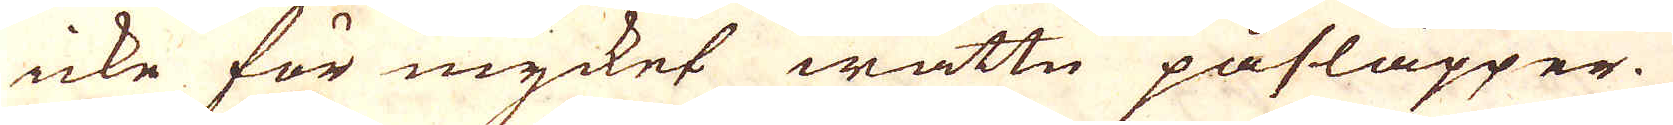icke för mycket wattn påsläpper.
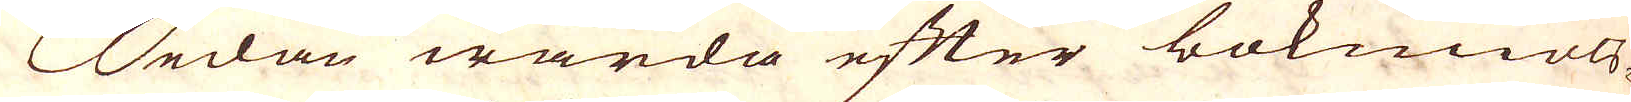Sedan warda efter bokmiöls-
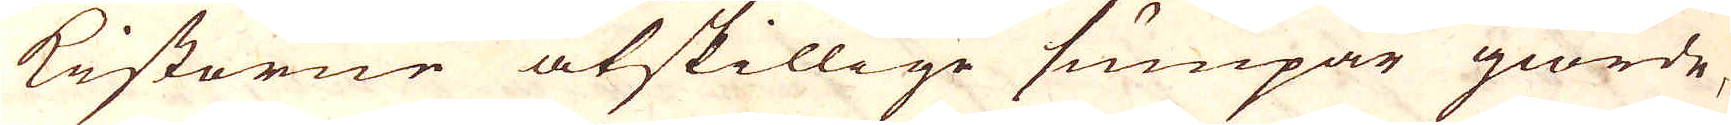kistorne åtskillige sumpar giorde,
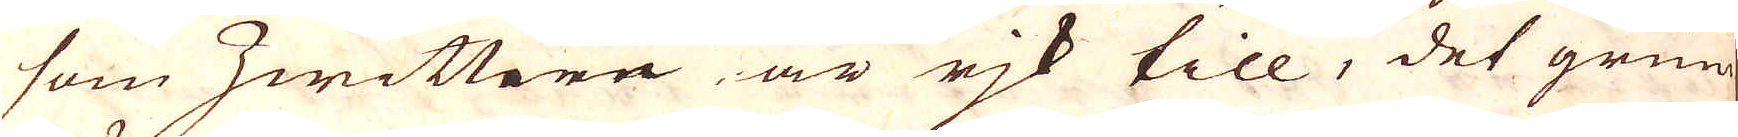som hwittere är rik till, det grum
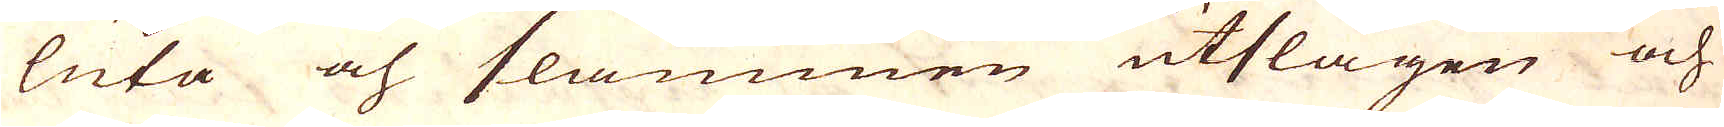luta och slammen utslagen och
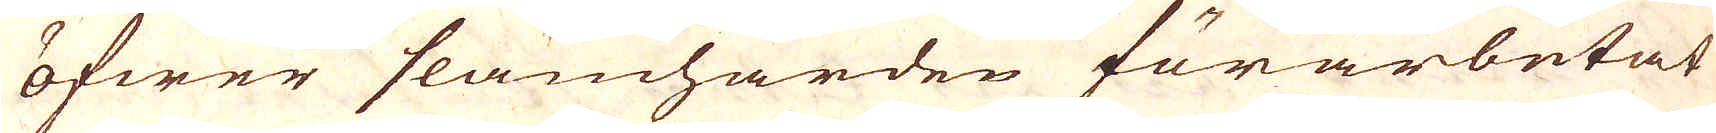öfwer slamhärden förarbetat
